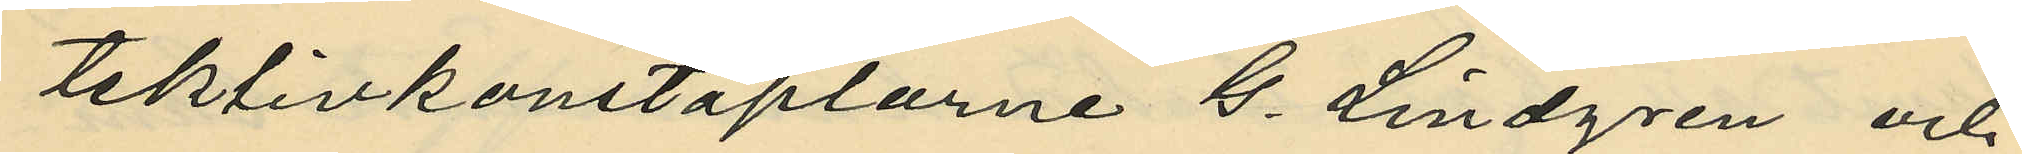tektivkonstaplarne G. Lindgren och
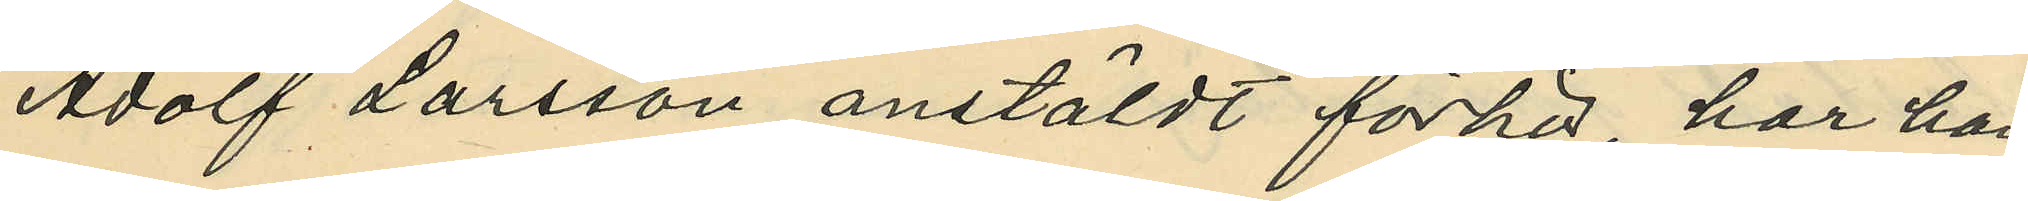Adolf Larsson anstäldt förhör, har han
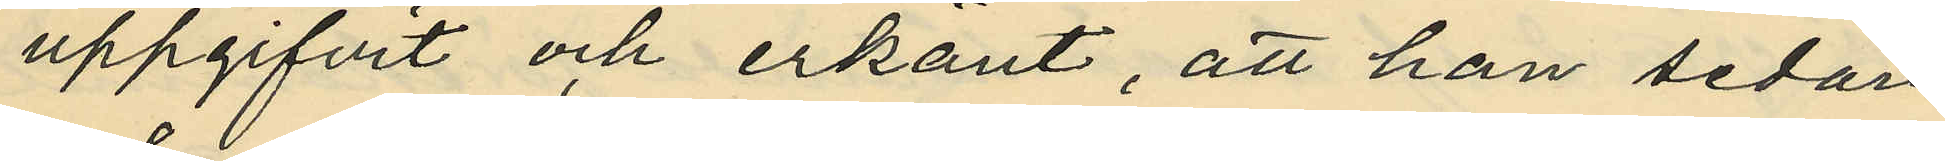uppgifvit och erkänt, att han sedan
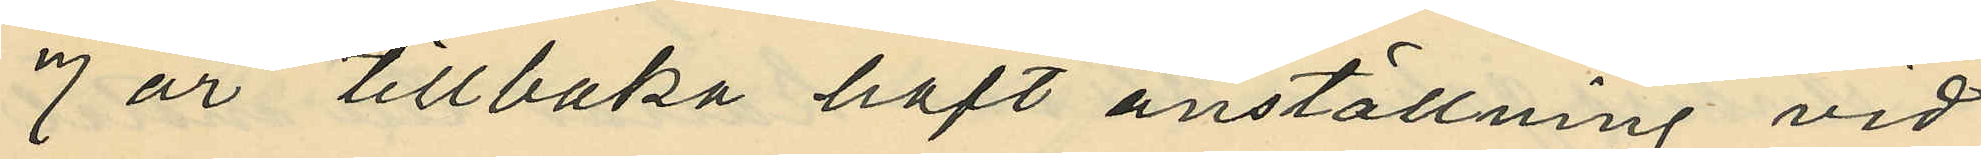7 år tillbaka haft anställning vid
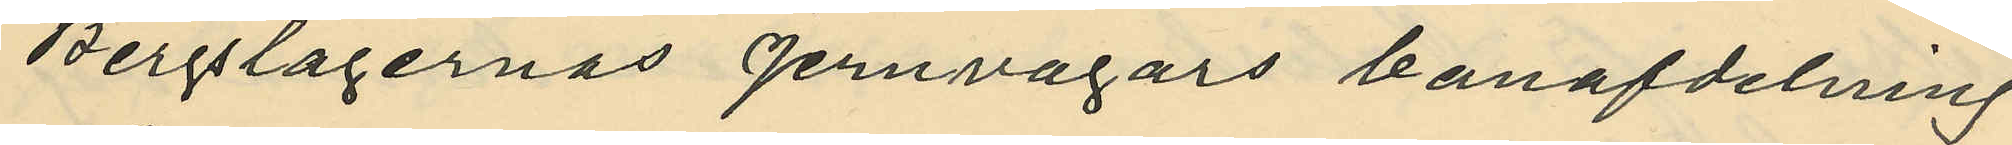Bergslagernas Jernvägars banafdelning
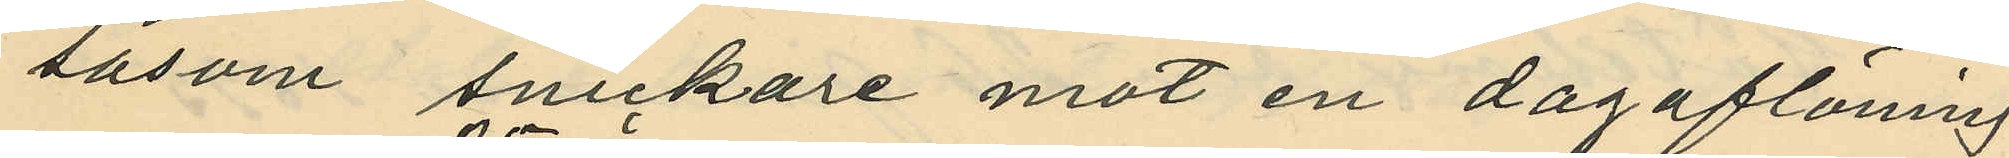såsom snickare mot en dagaflöning
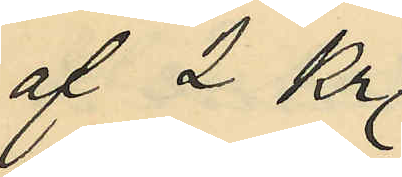af 2 Kr.
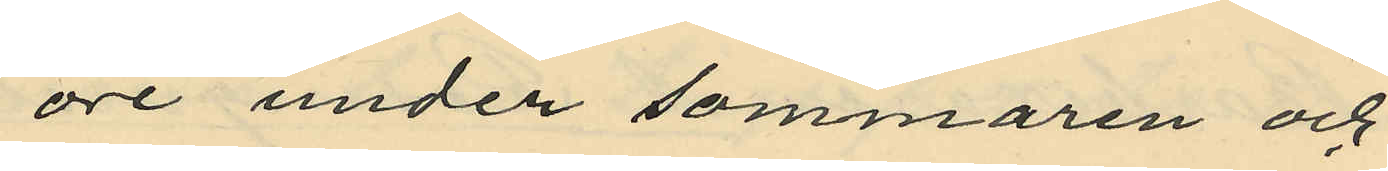öre under sommaren och
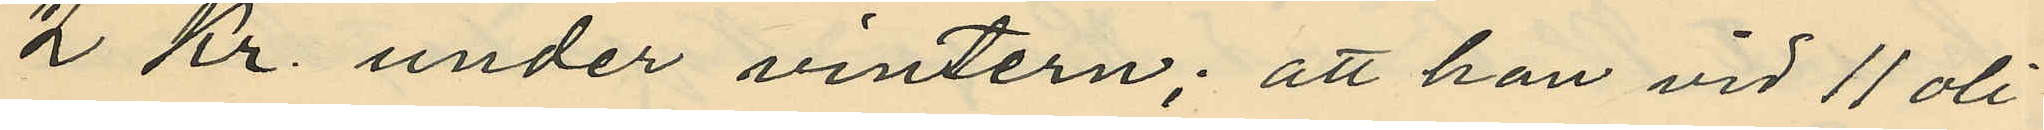2 Kr. under vintern; att han vid 11 oli¬
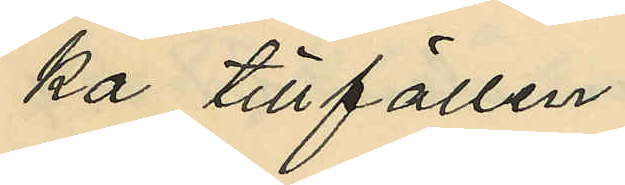ka tillfällen
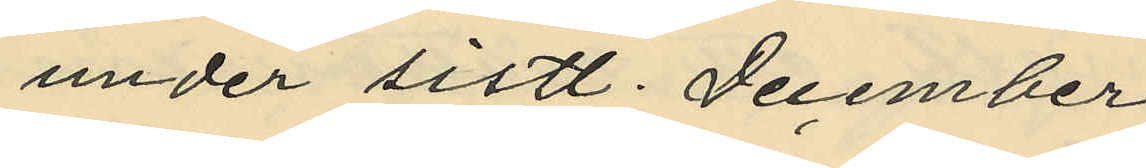under sistl. December
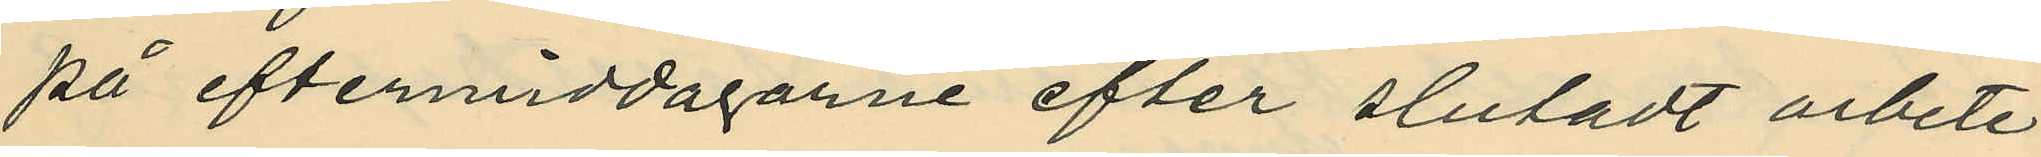på eftermiddagarne efter slutadt arbete
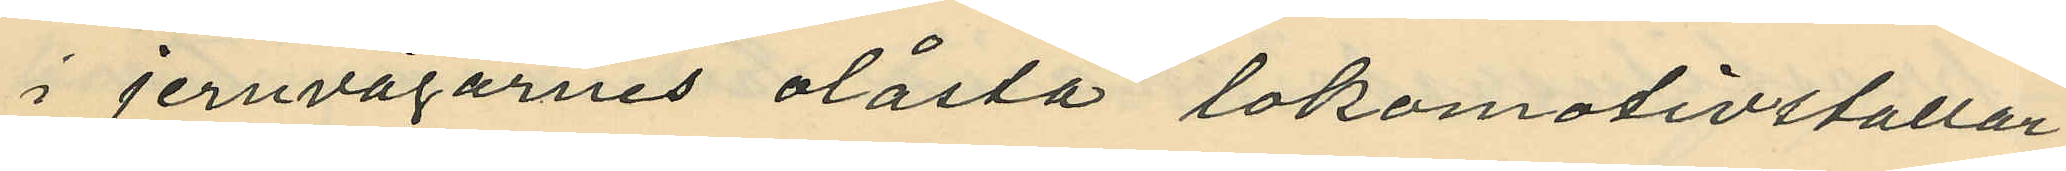i jernvägarnes olåsta lokomotivstallar
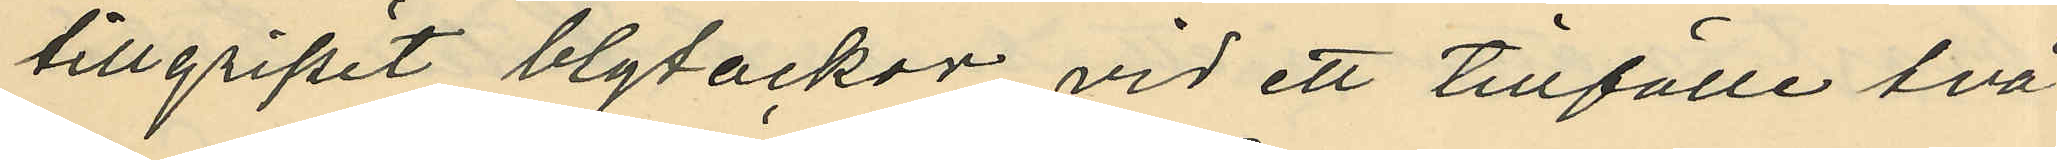tillgripit blytackor vid ett tillfälle två
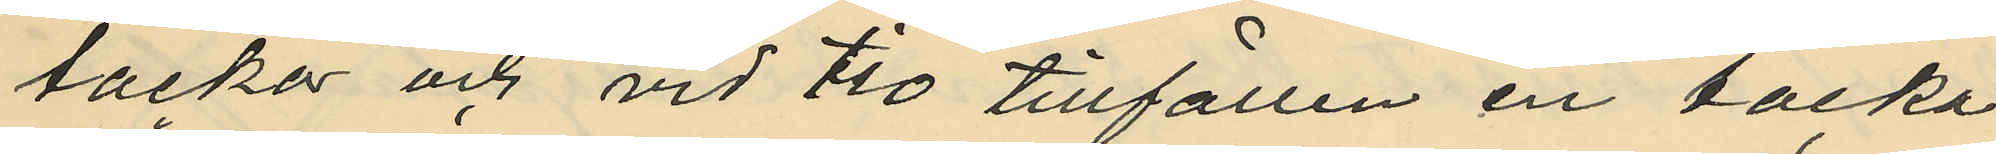tackor och vid tio tillfällen en tacka;
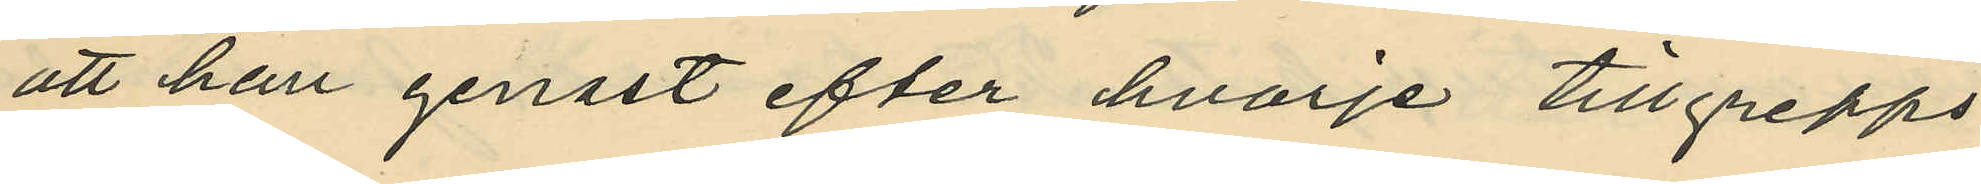att han genast efter hvarje tillgrepps
